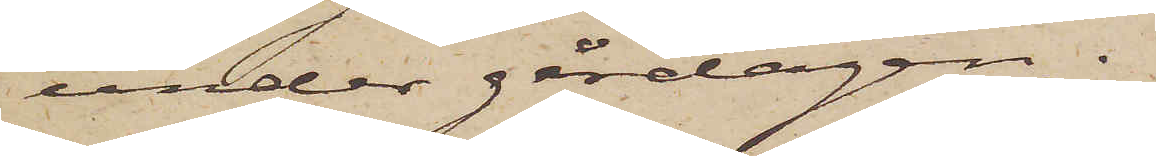under gårdagen.
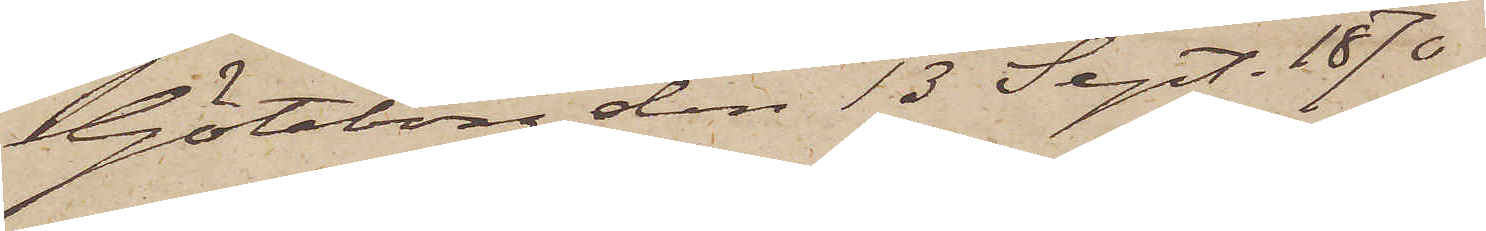Göteborg den 13 Sept. 1870.
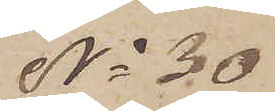No 30
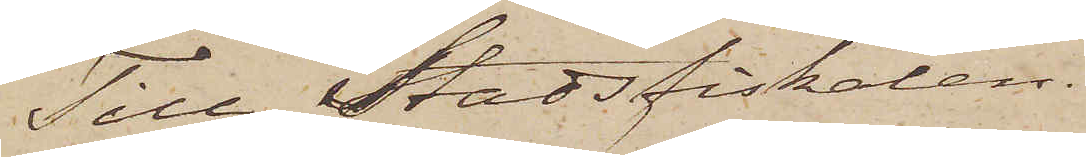Till Stadsfiskalen.
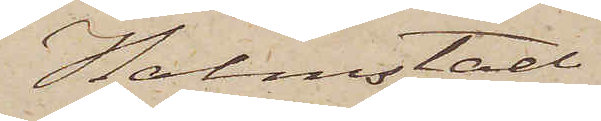Halmstad.
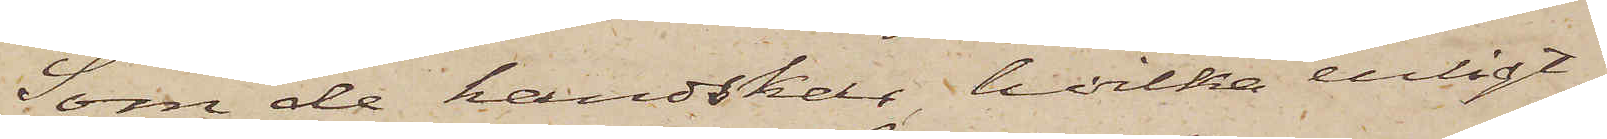Som de handskar, hvilka enligt
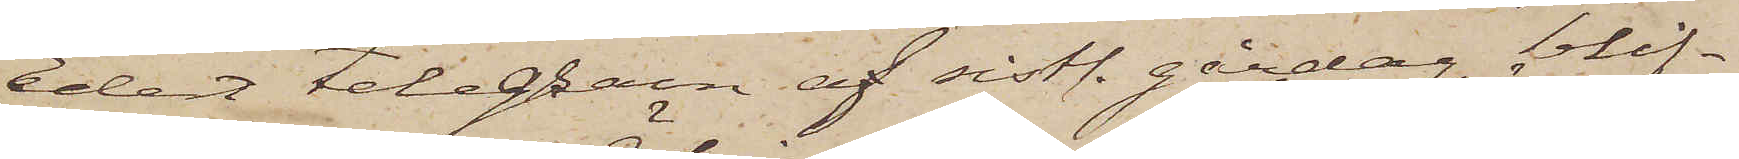Edet telegram af sistl. gårdag blif¬
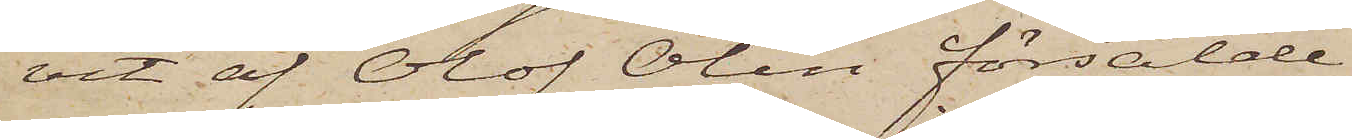vit af Olof Ölin försålde
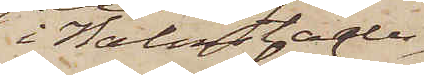i Halmstad
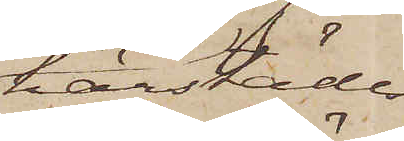härstädes
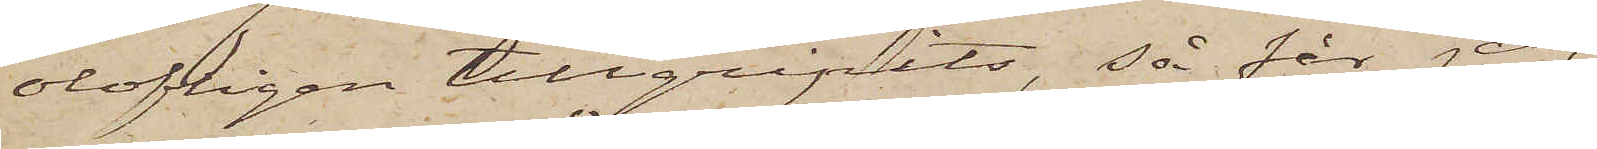olofligen tillgripits, så får jag
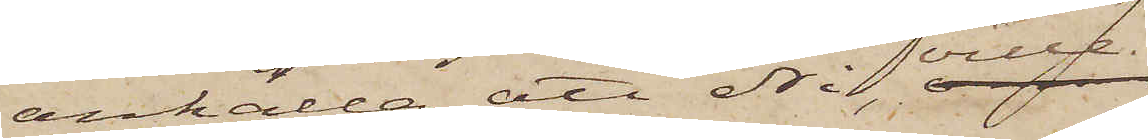anhålla att Ni ville
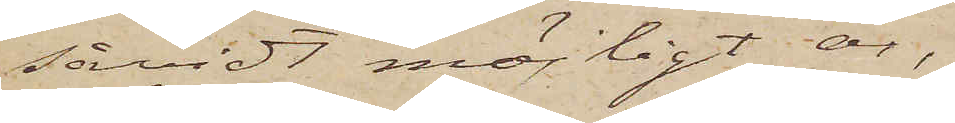såvidt möjligt är,
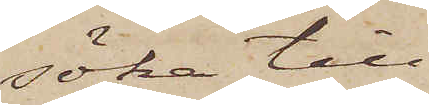söka till¬
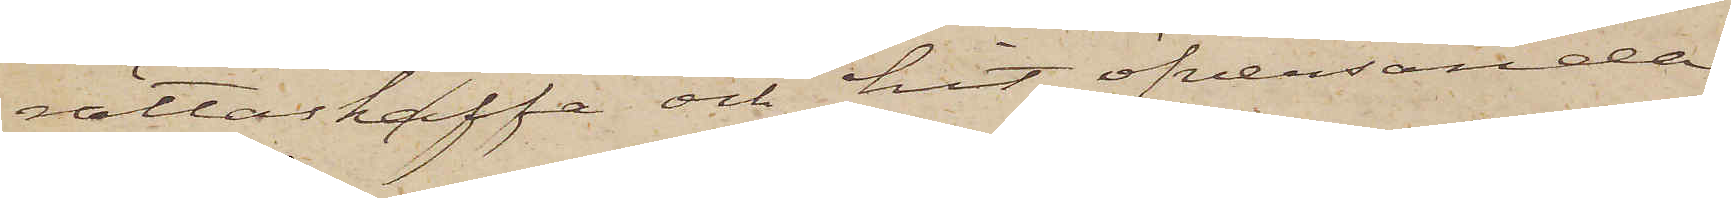rättaskaffa och hit öfversända
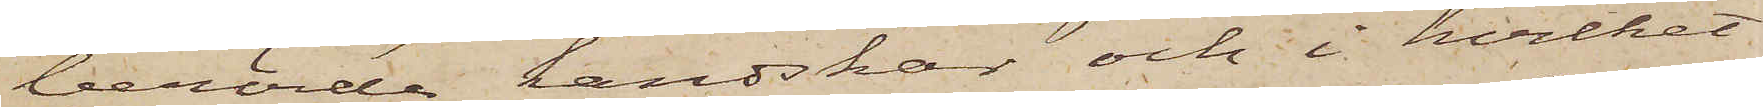berörda handskar och i hvilket
